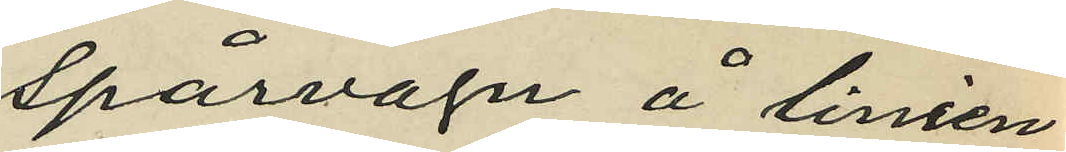spårvagn å linien
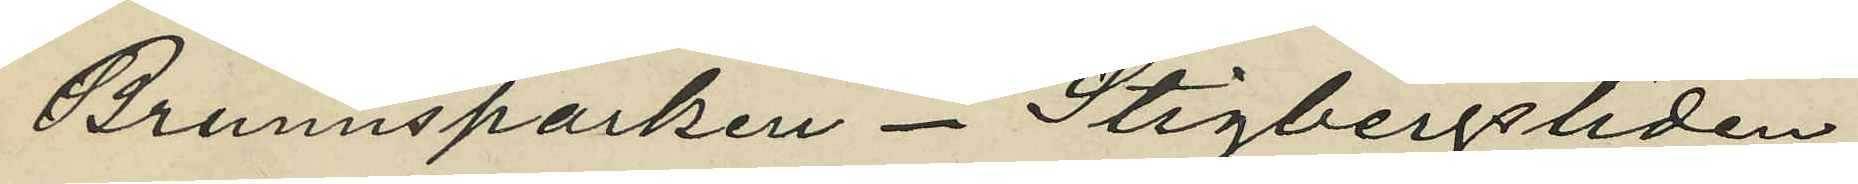Brunnsparken - Stigbergsliden,
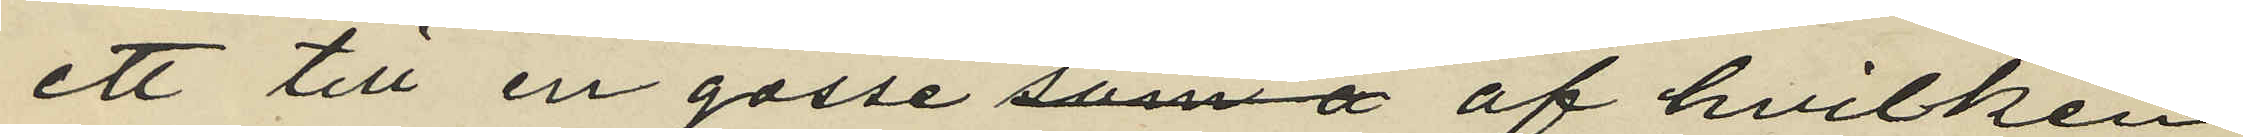ett till en gosse af hvilken
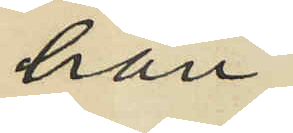han
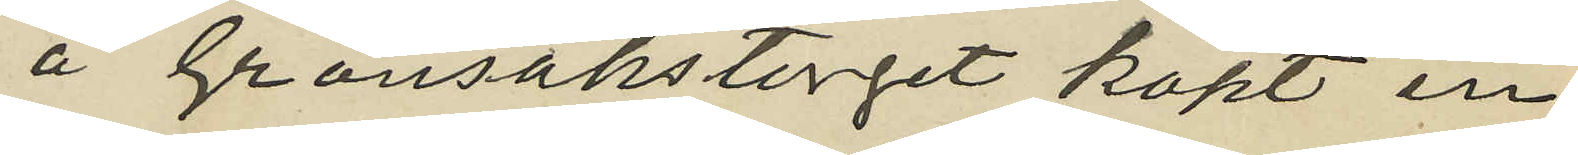å Grönsakstorget köpt en
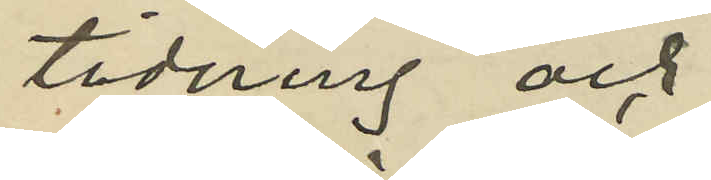tidning och
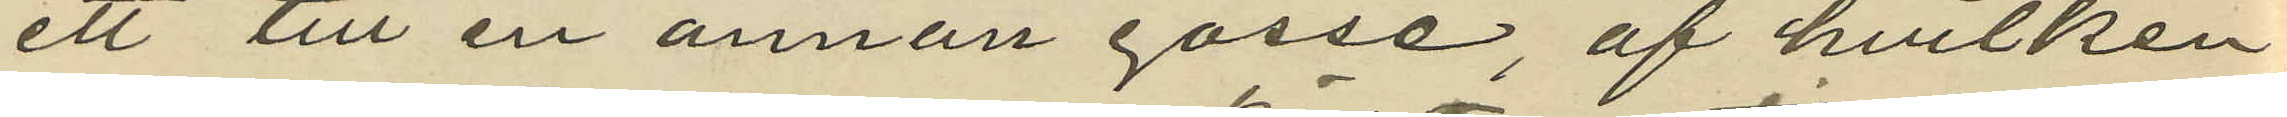ett till en annan gosse, af hvilken
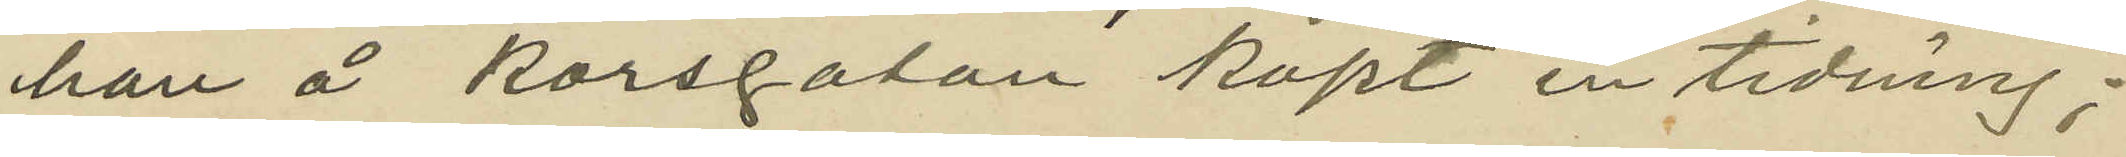han å Korsgatan köpt en tidning;
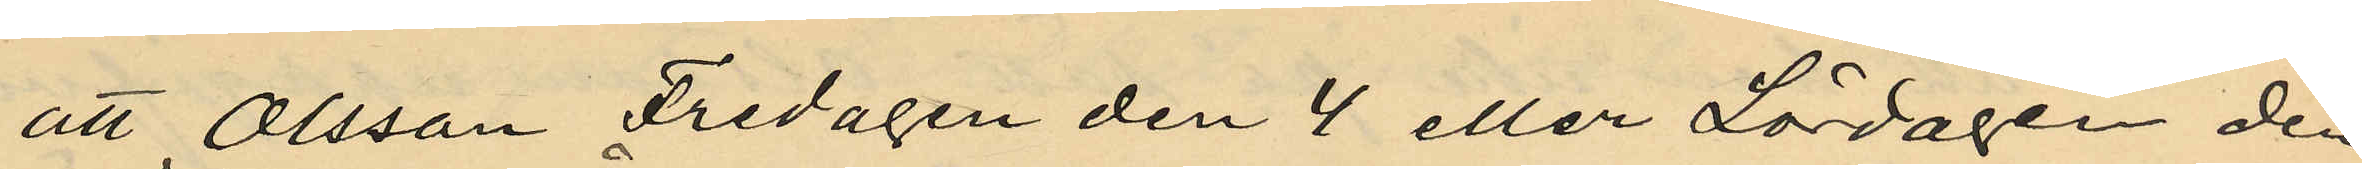att Olsson Fredagen den 4 eller Lördagen den
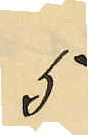5
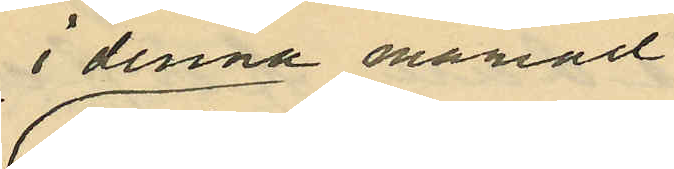i denna månad
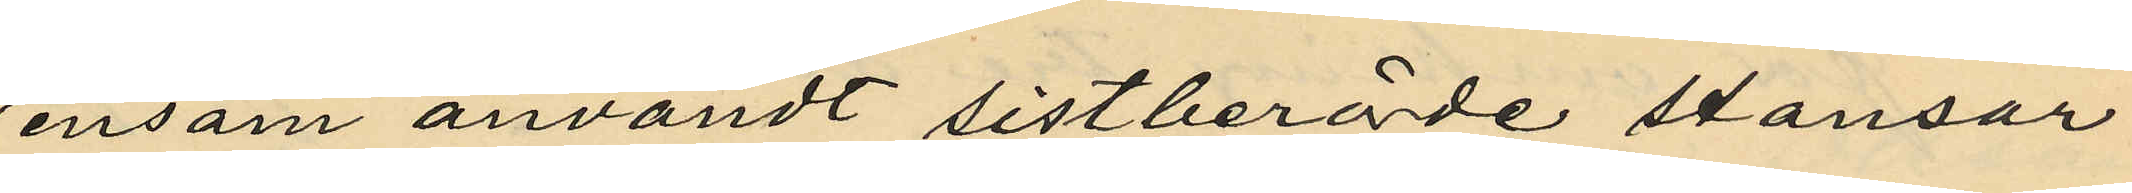ensam användt sistberörde stansar
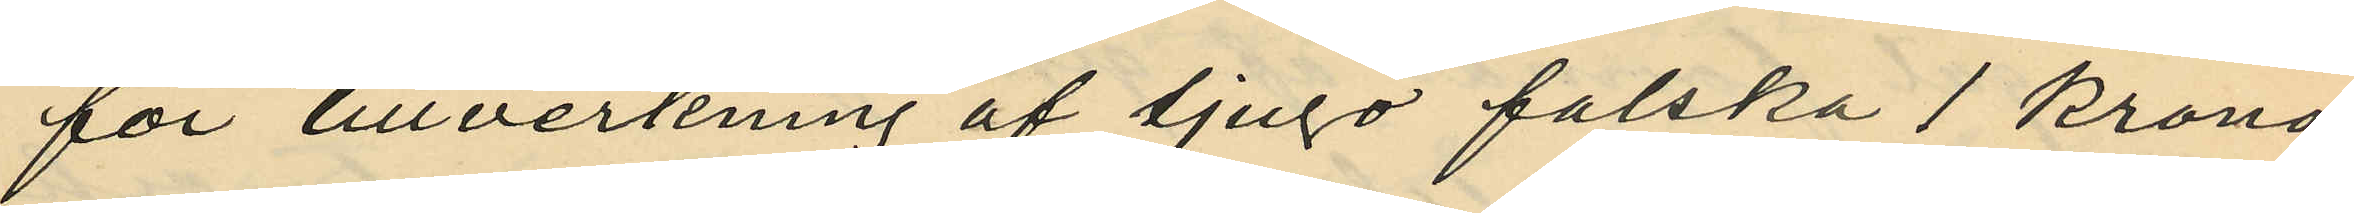för tillverkning af tjugo falska 1 krono¬
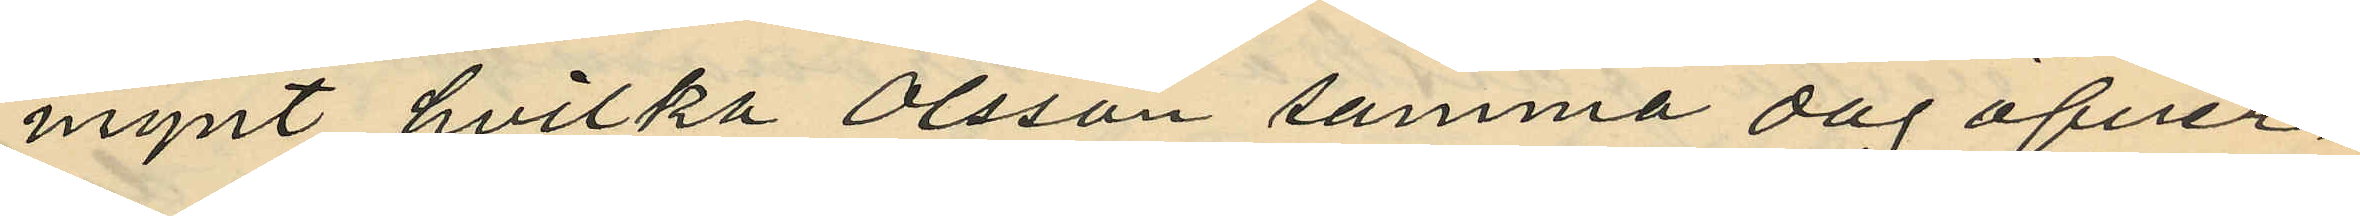mynt, hvilka Olsson samma dag öfver¬
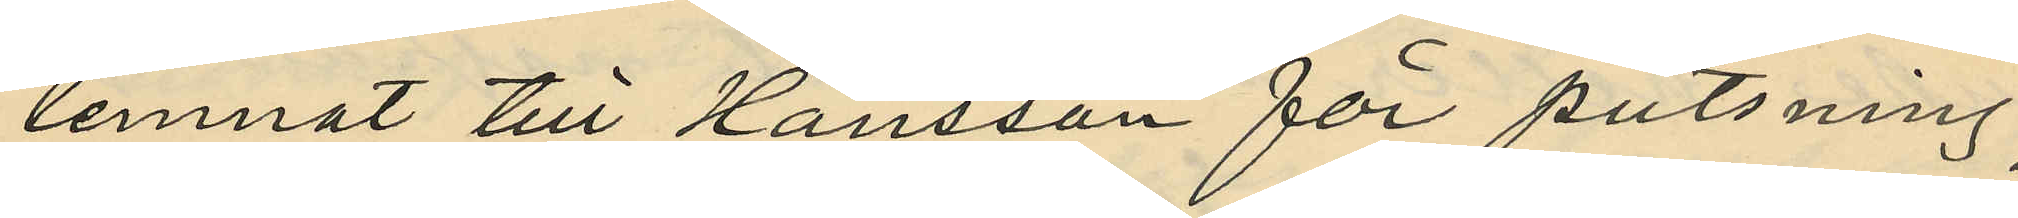lemnat till Hansson för putsning;
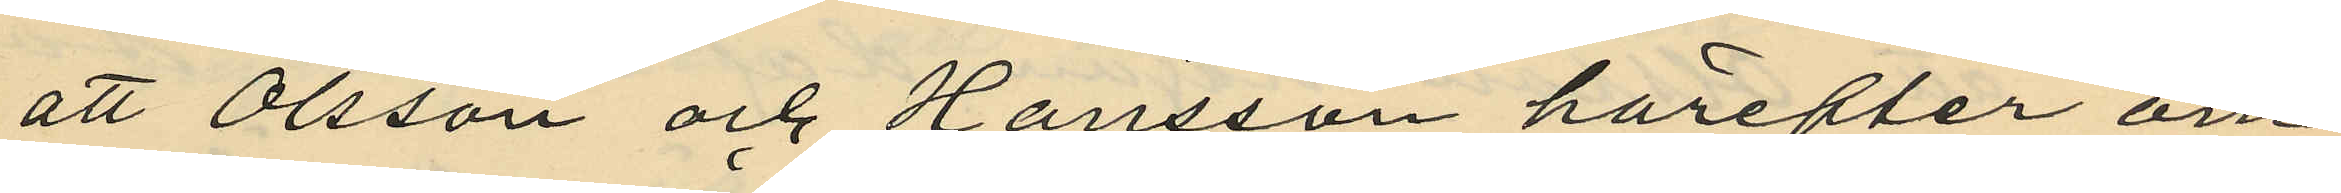att Olsson och Hansson härefter om
